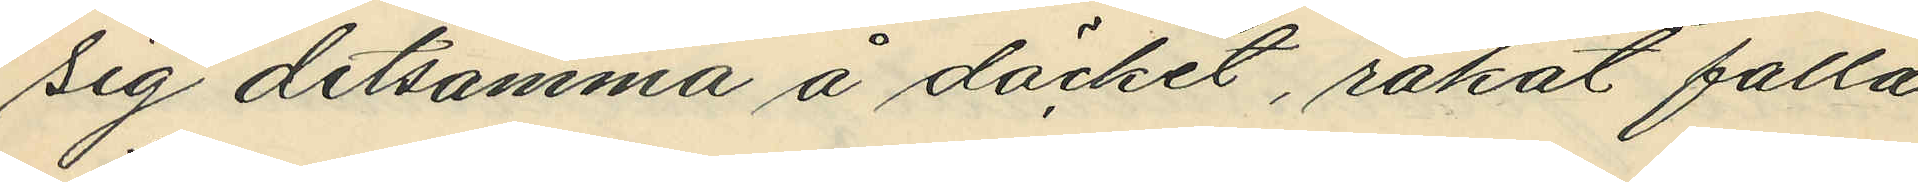sig detsamma å däcket, råkat falla
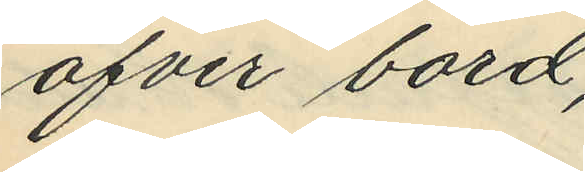öfver bord;
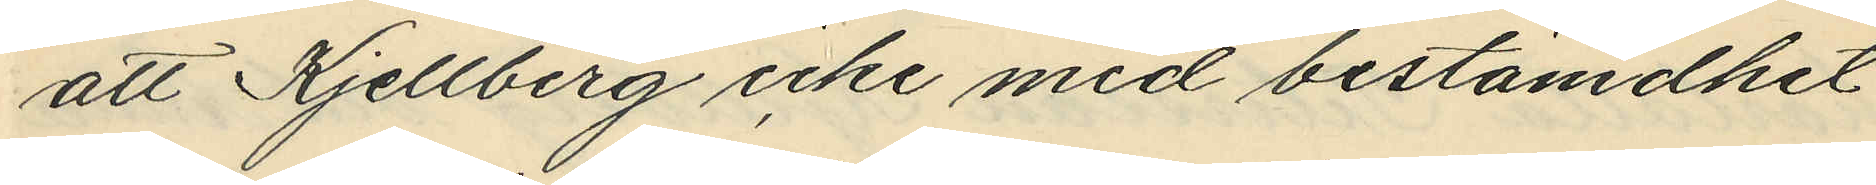att Kjellberg icke med bestämdhet
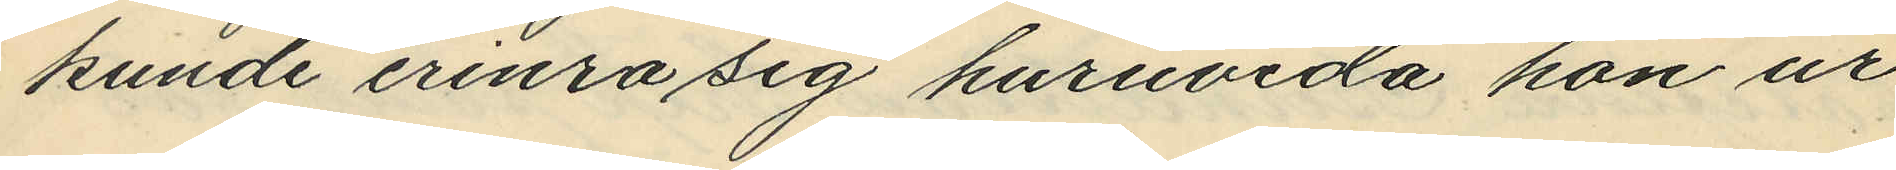kunde erinra sig huruvida hon ur
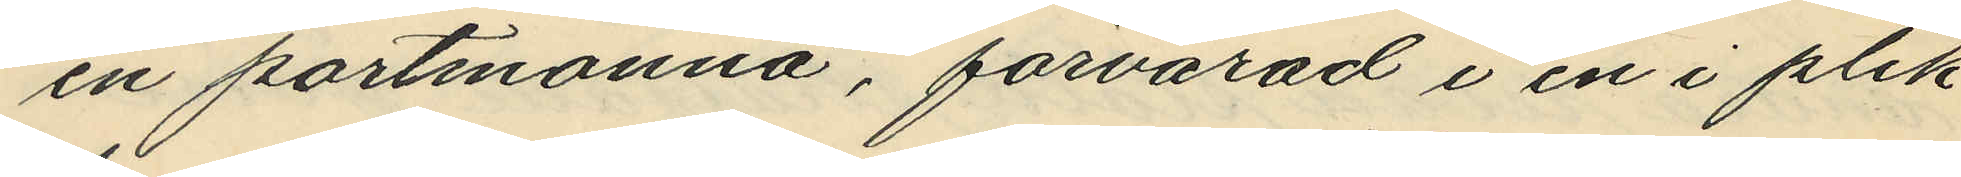en portmonnä, förvarad i en i plik¬
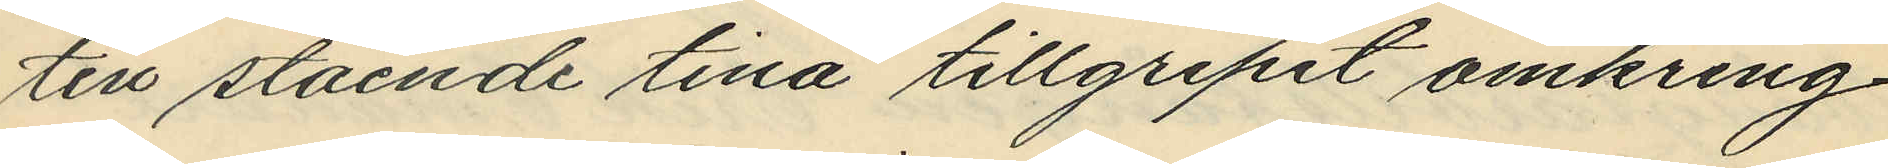ten stående tina tillgripit omkring
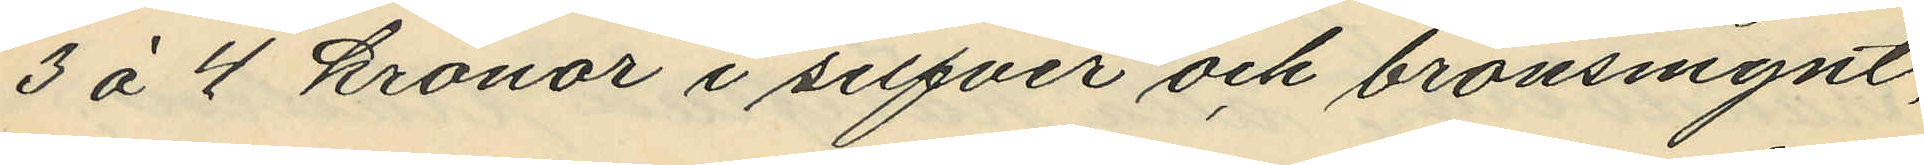3 á 4 kronor i silfver och bronsmynt,
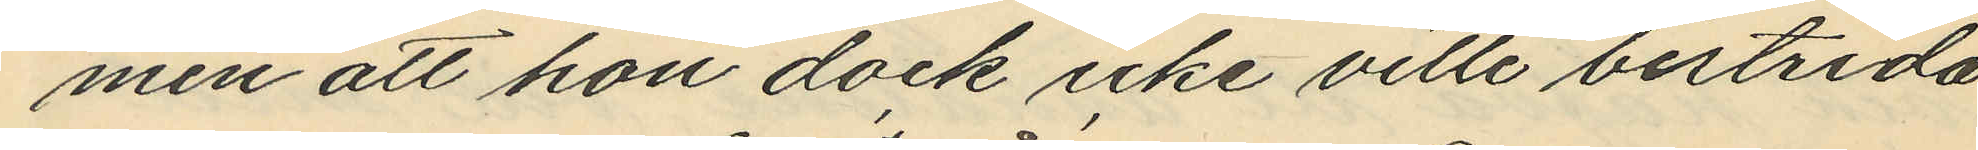men att hon dock icke ville bestrida
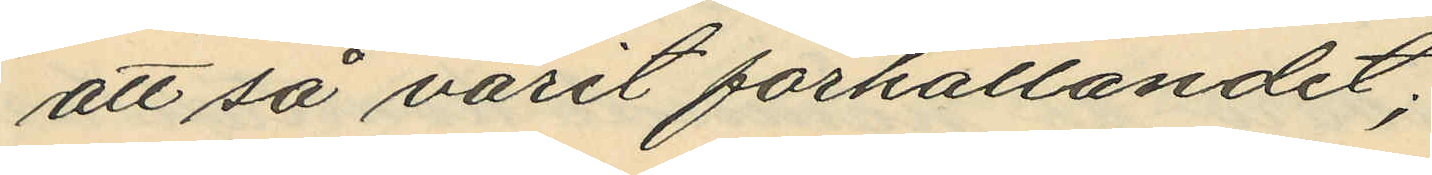att så varit förhållandet;
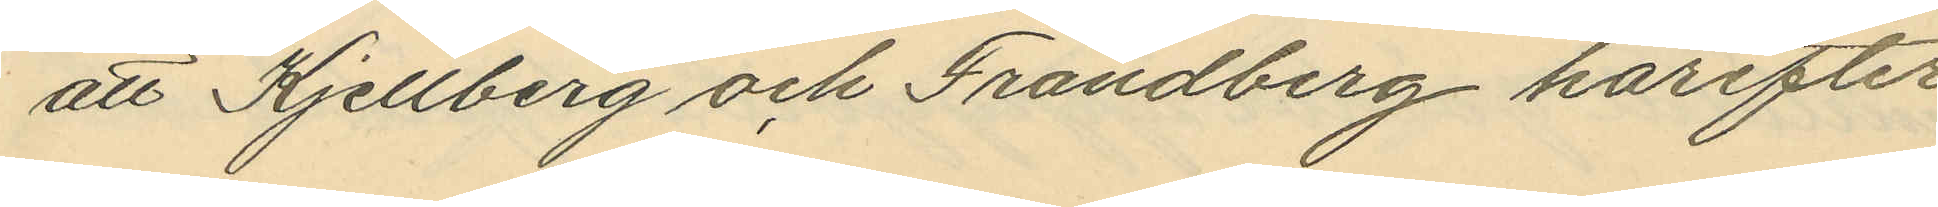att Kjellberg och Frändberg härefter
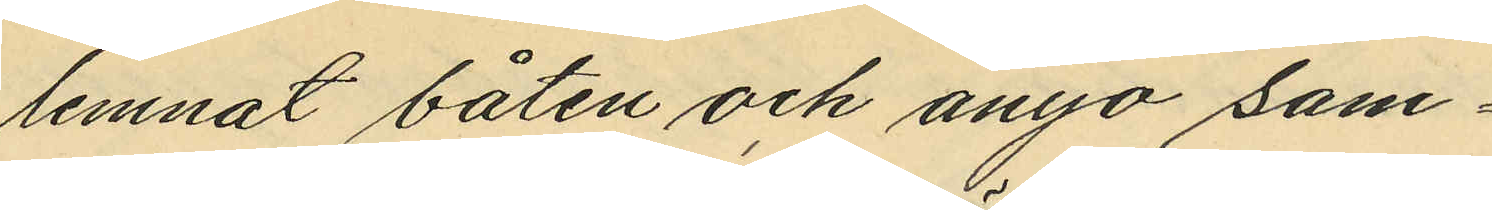lemnat båten och ånyo sam¬
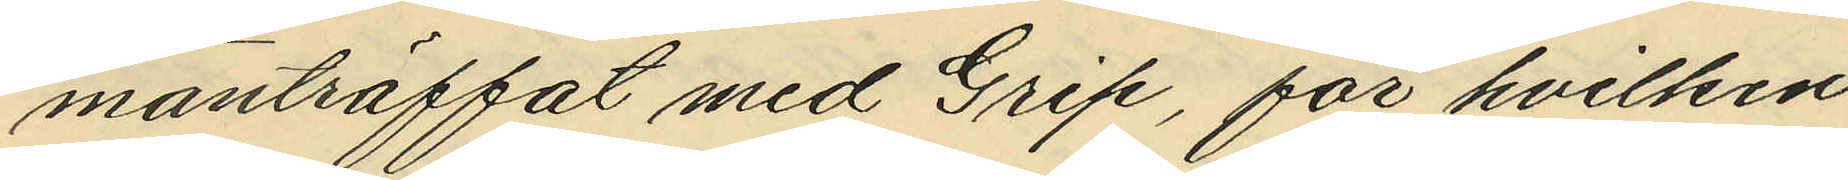manträffat med Grip, för hvilken
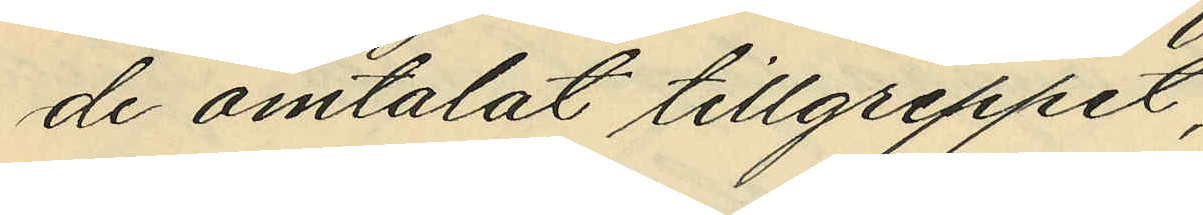de omtalat tillgreppit;
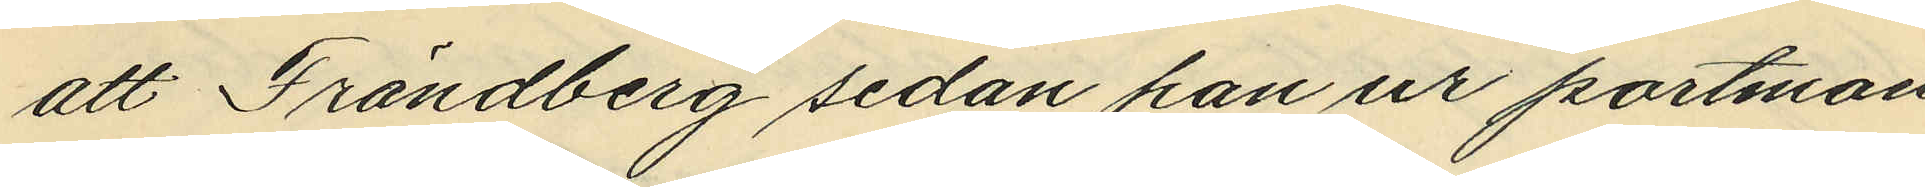att Frändberg sedan han ur portmon¬
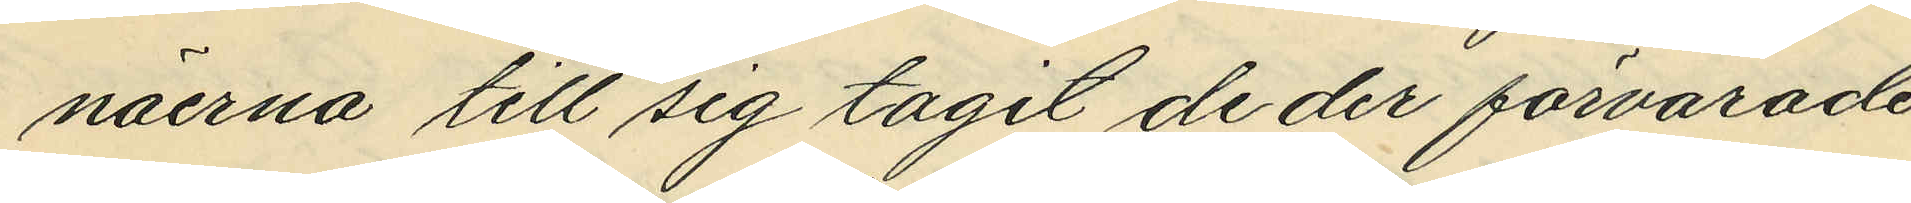näerna till sig tagit de der förvarade
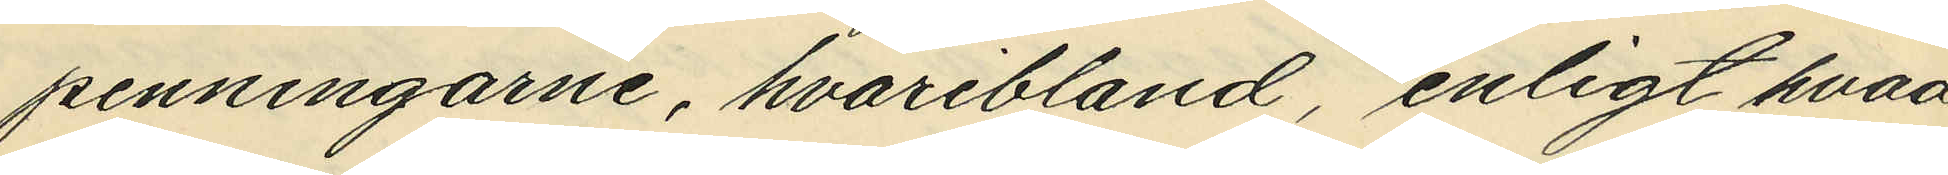penningarne, hvaribland, enligt hvad
